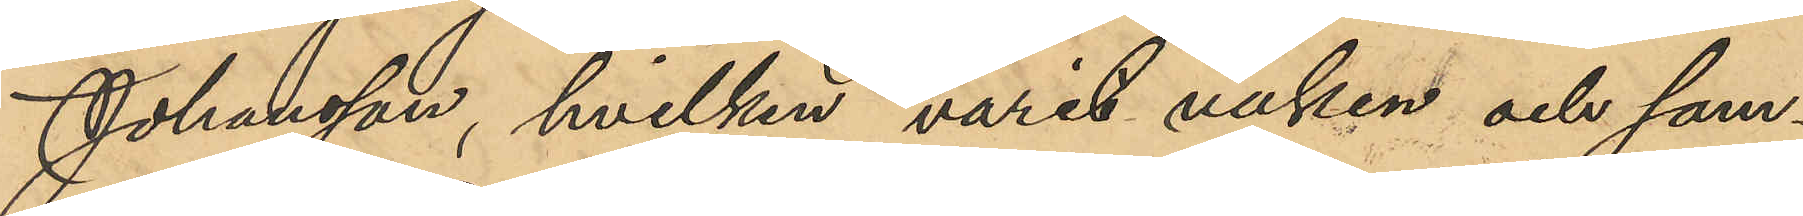Johansson, hvilken varit vaken och sam¬
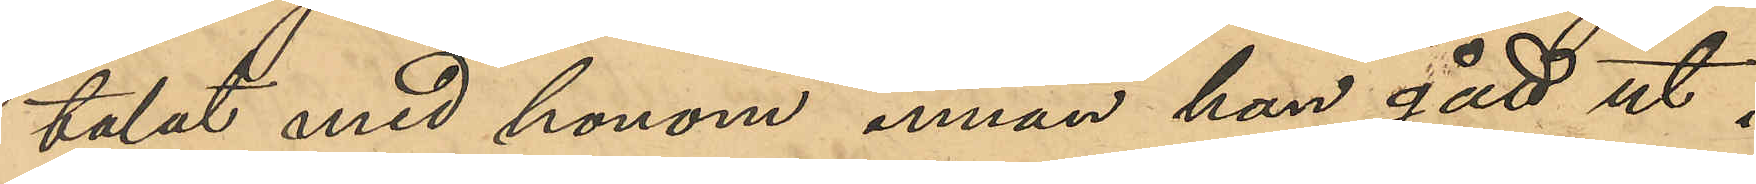talat med honom innan han gått ut i
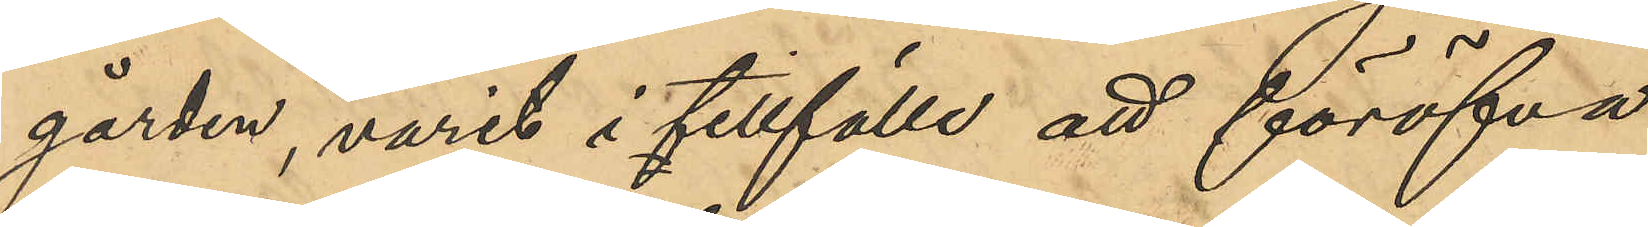gården, varit i tillfälle att föröfva
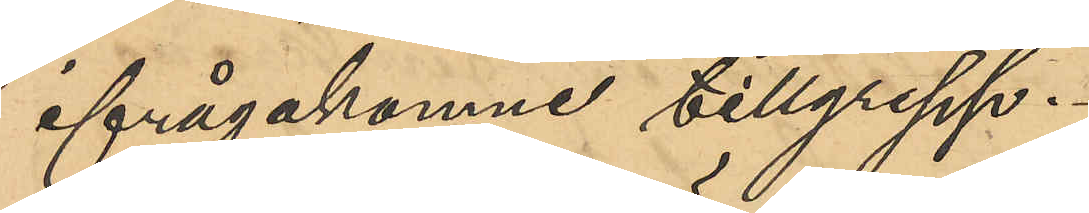ifrågakomne tillgrepp.
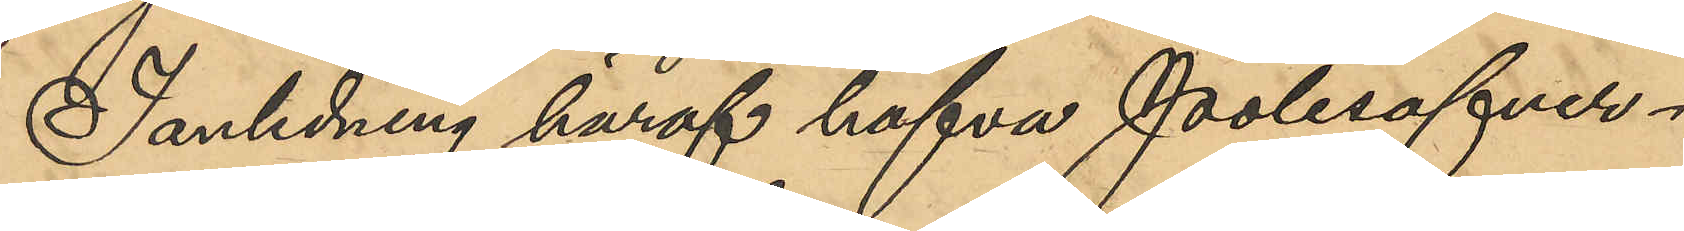I anledning häraf hafva Polisöfver¬
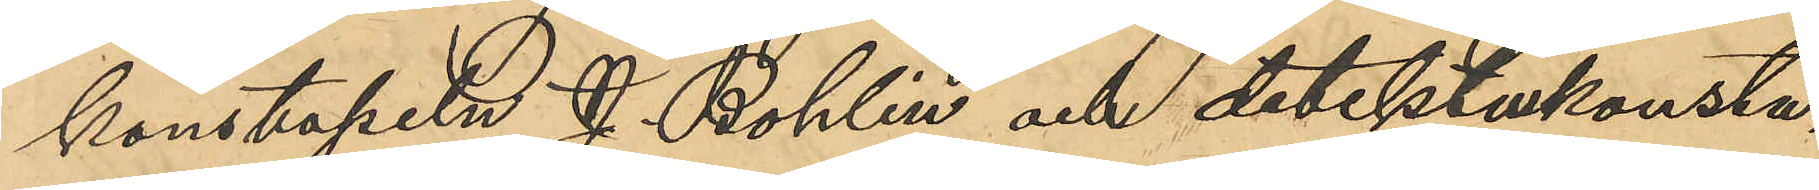kostapeln J. Bohlin och detektivkonsta¬
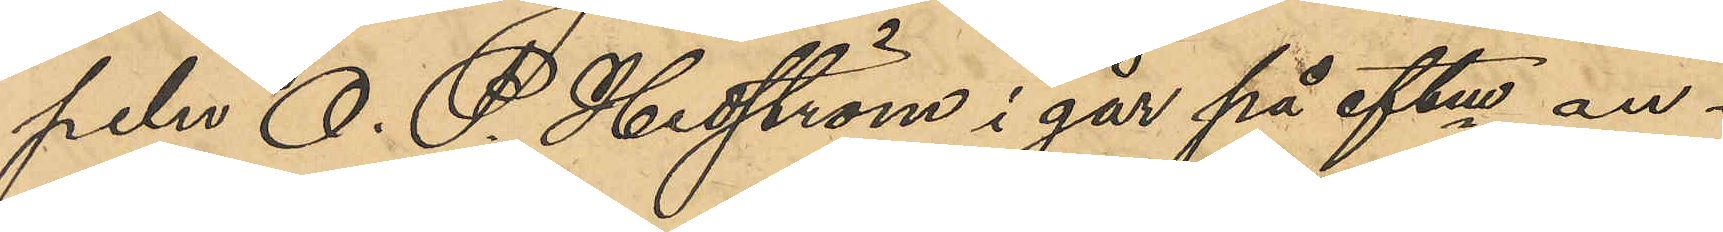peln O. P. Hedström i går på eftm an¬
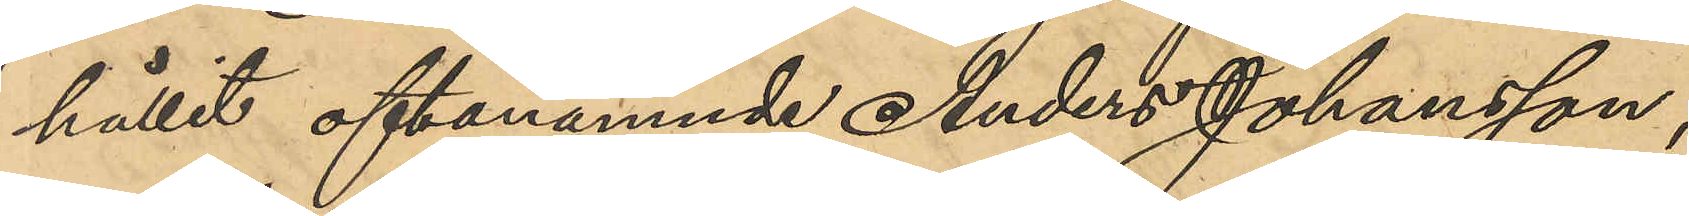hållit oftanämnde Anders Johansson;
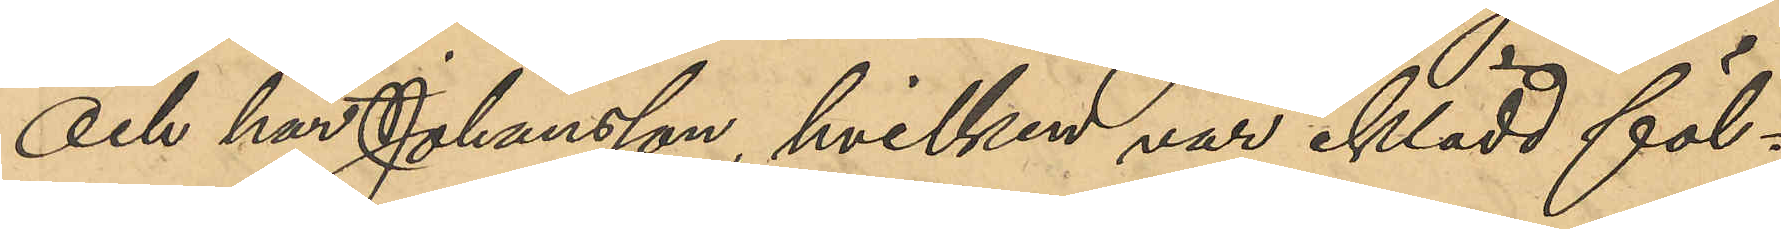och har Johansson, hvilken var iklädd föl¬
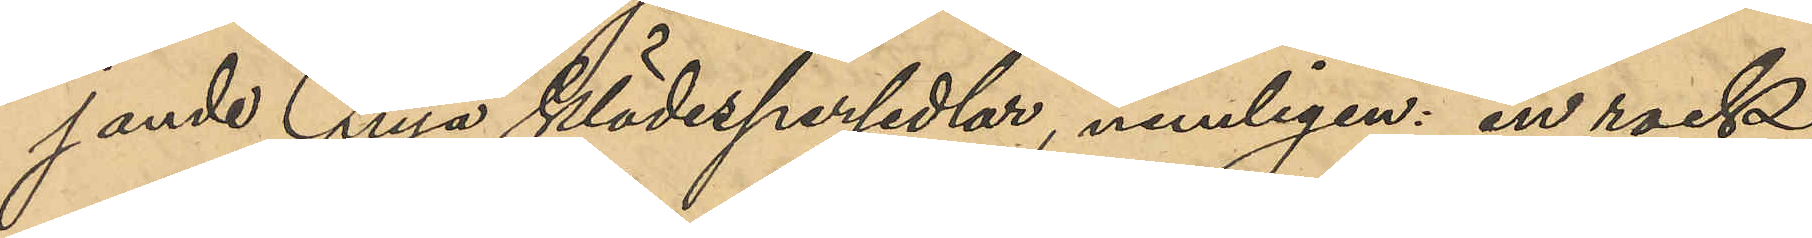jande nya klädespersedlar, nemligen: en rock,
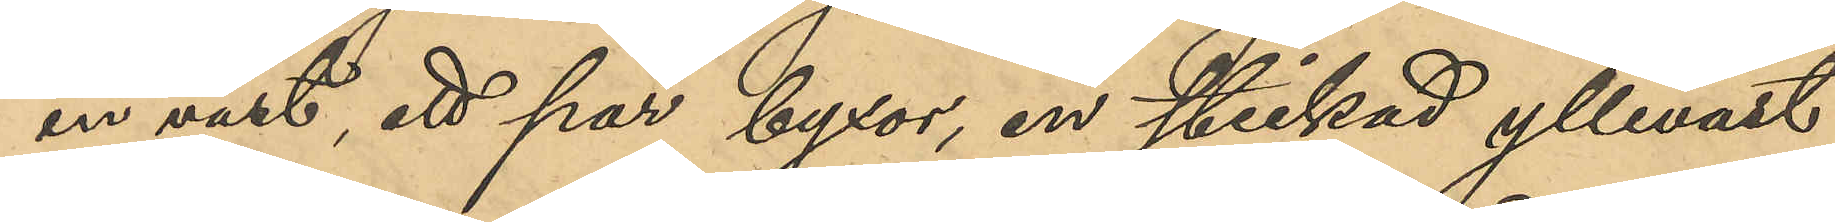en väst, ett par byxor, en stickad ylleväst
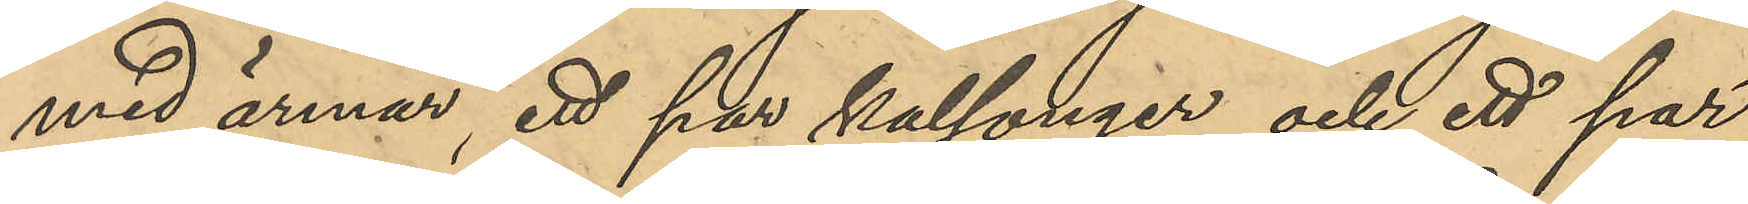med ärmar, ett par kalsonger och ett par
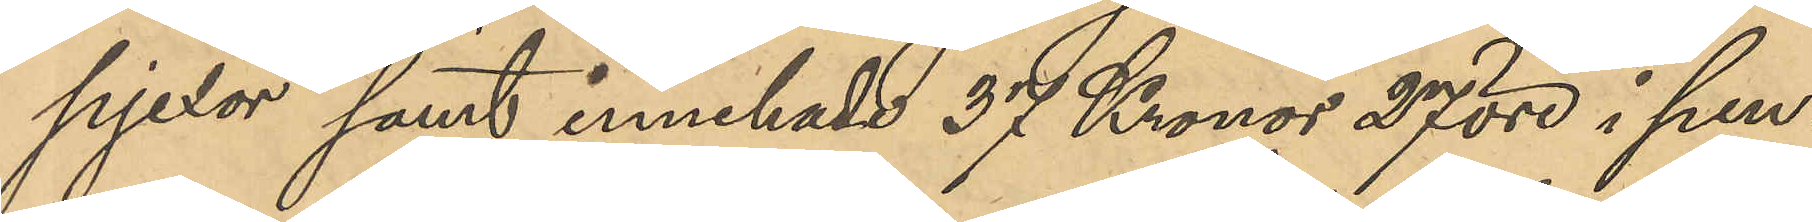pjexor samt innehade 37 Kronor 27 öre i pen¬
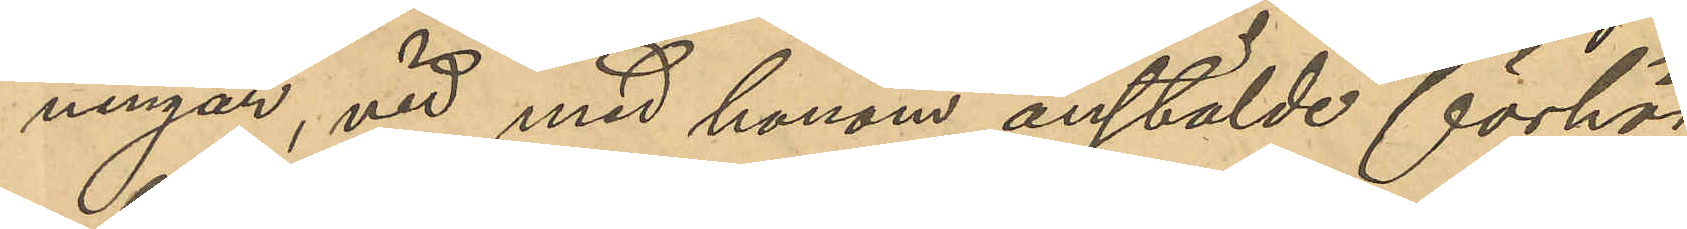ningar, vid med honom anstälde förhör
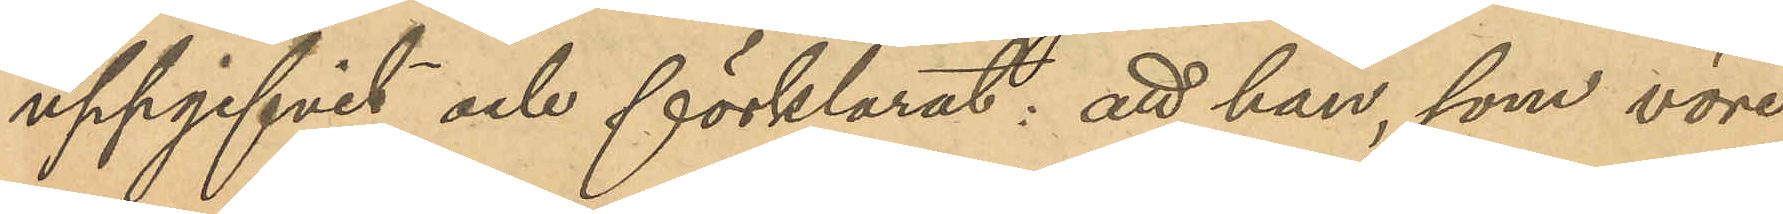uppgifvit och förklarat: att han, som vore
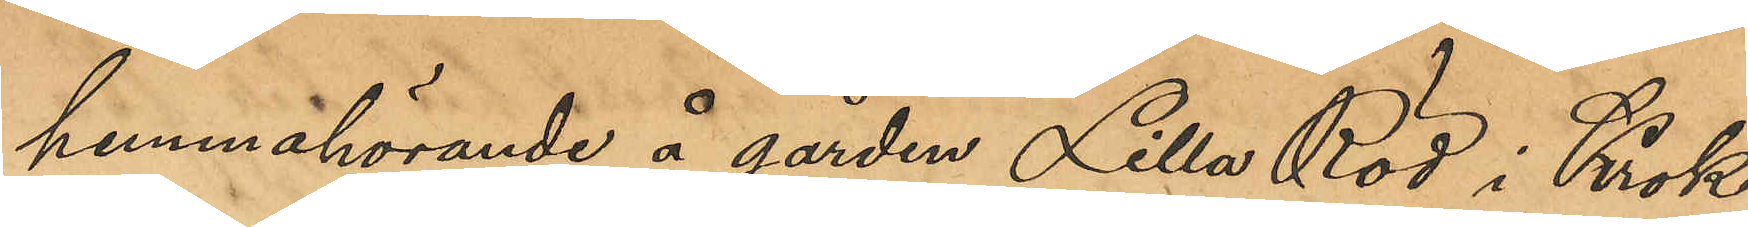hemmahörande å gården Lilla Röd i Krok¬
